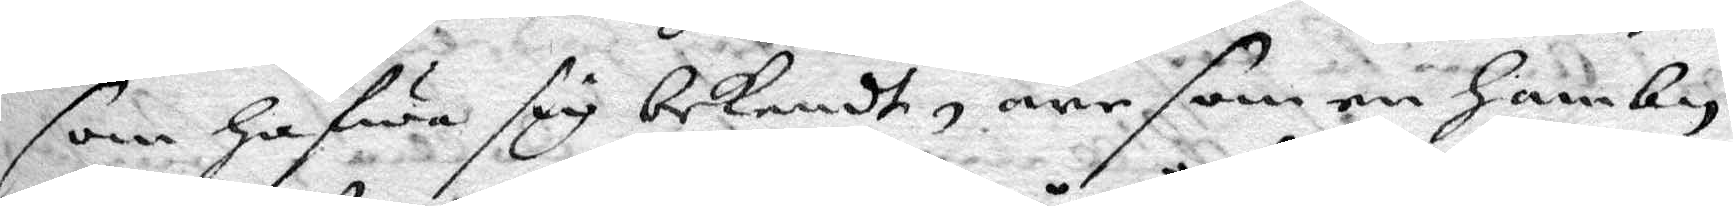som hafwa sig bekendt, äre som en hambn
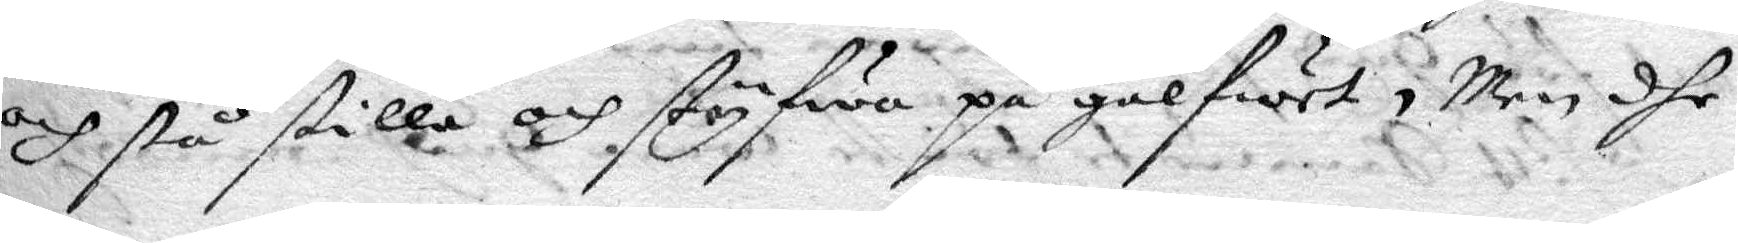och stå stilla och styfwa på gålfwet, Men dhe
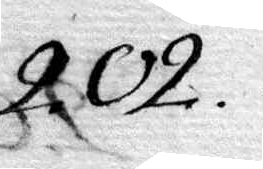202.
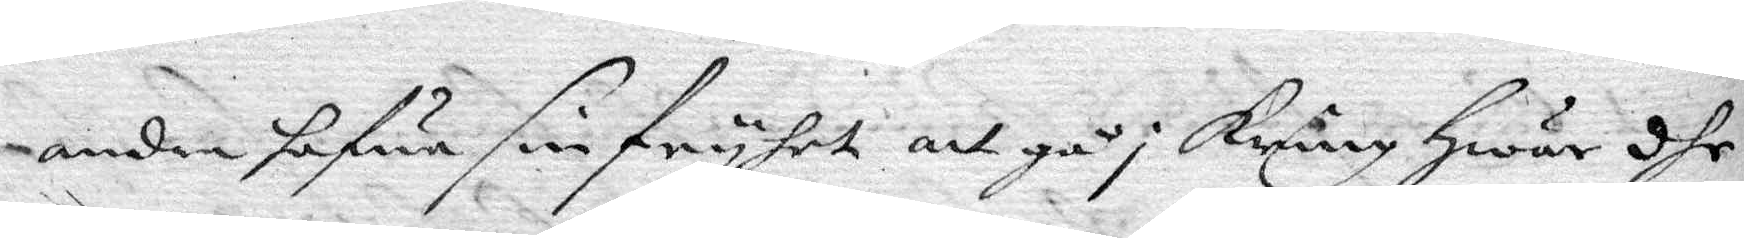andra hafwa sin fryhet att gå i kring hwar dhe
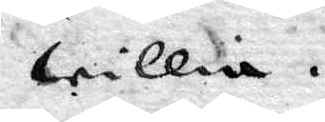willia.
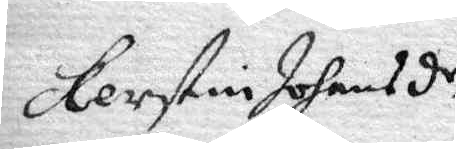Kerstin Johansd.r
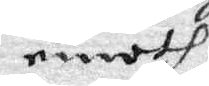emoth
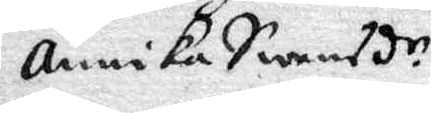Annika Swensd.r
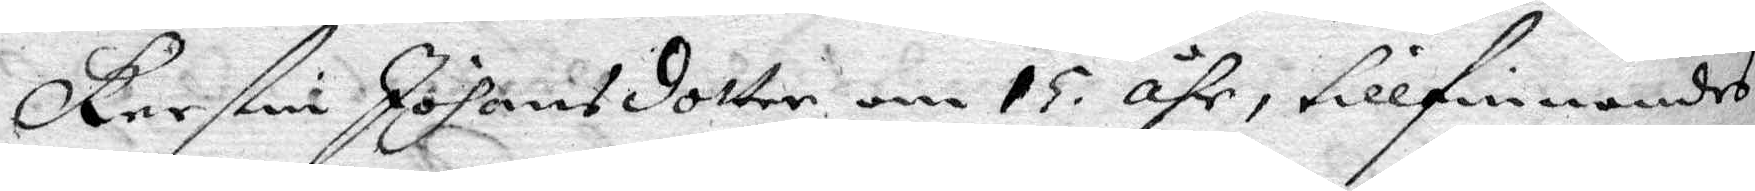Kerstin Johansdotter om 15 åhr, tillfinnandes
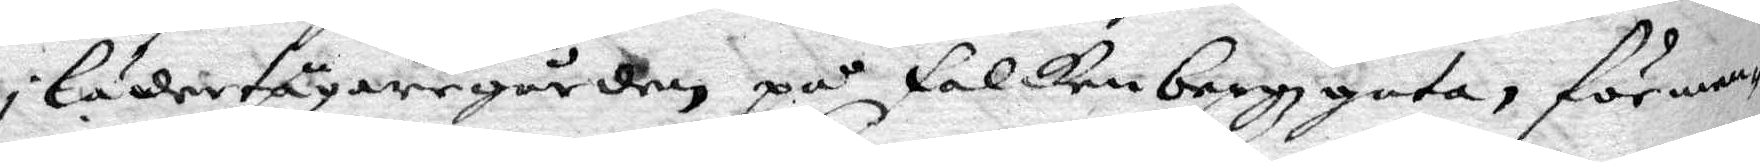i Lädertågaregården på Falkenbergzgata, förman¬
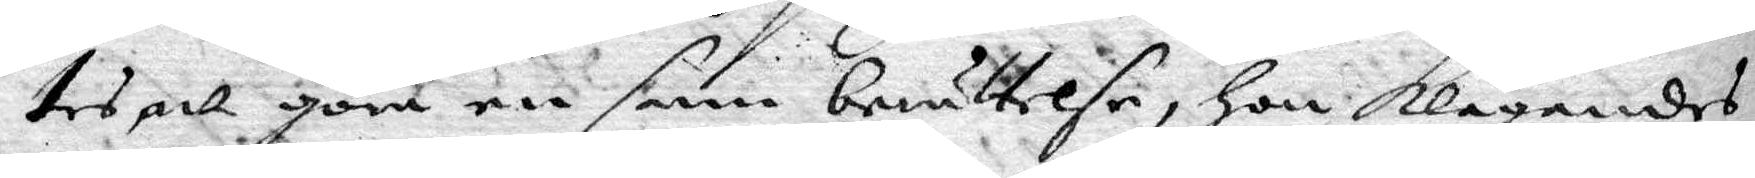tes att göra en sann berättelse, hon klagnades
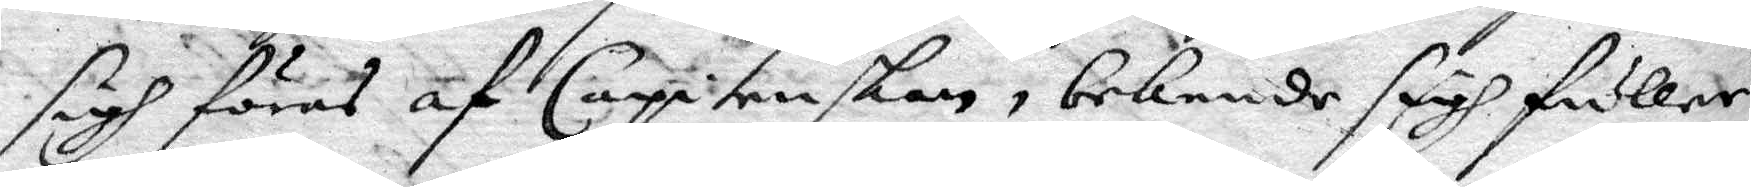sigh föras af Capitenskan, bekende sigh fuller
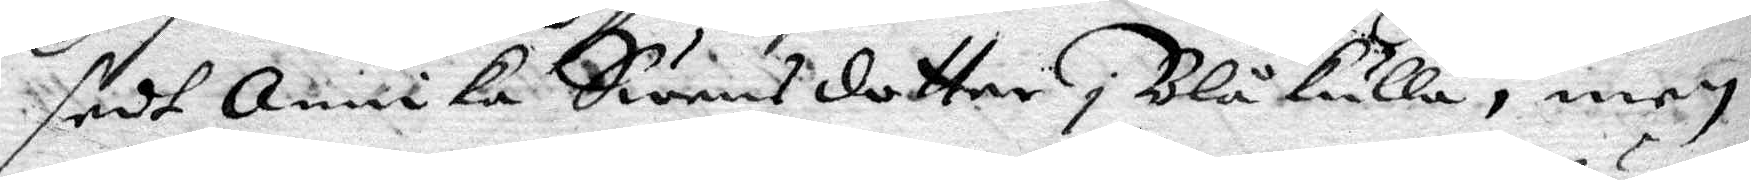sedt Annika Swensdotter i Blåkulla, men
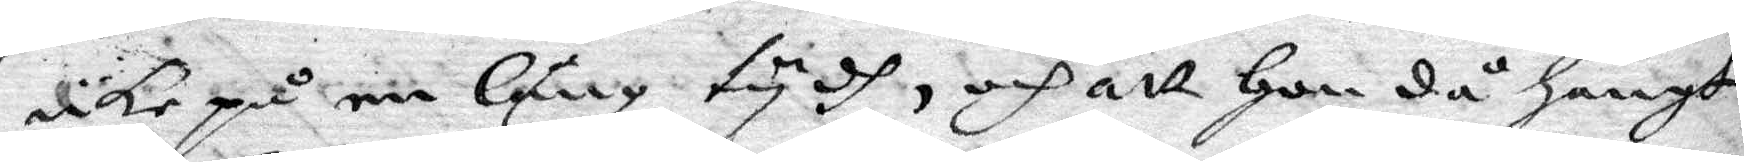icke på en Lång tydh, och att hon då hängt
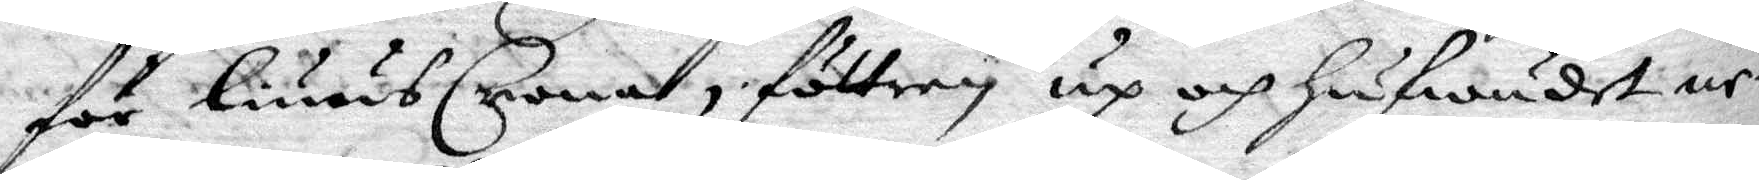för liuusCrona, föttren up och hufwudet ne¬
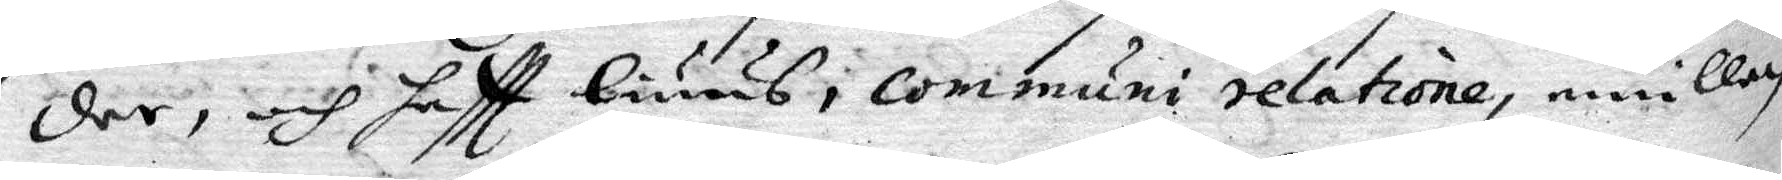der, och haftt Liuus, communi relatione, emillan
